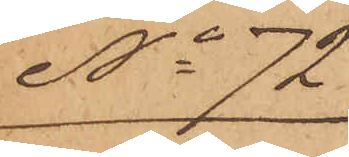No 72
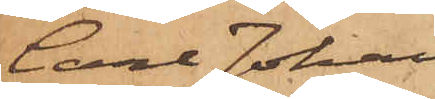Carl Johan
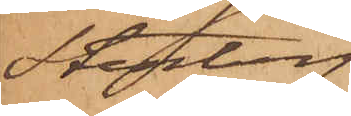Stenberg.
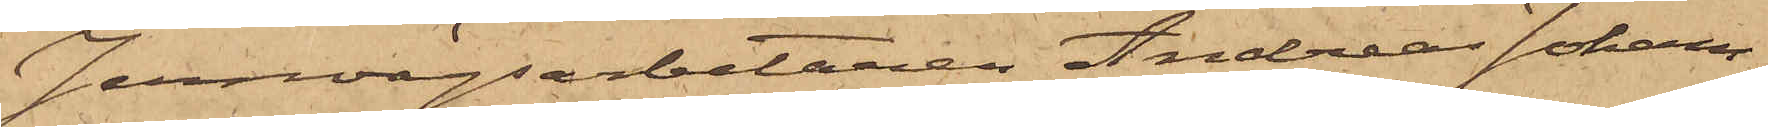Jernvägsarbetaren Andreas Johans¬
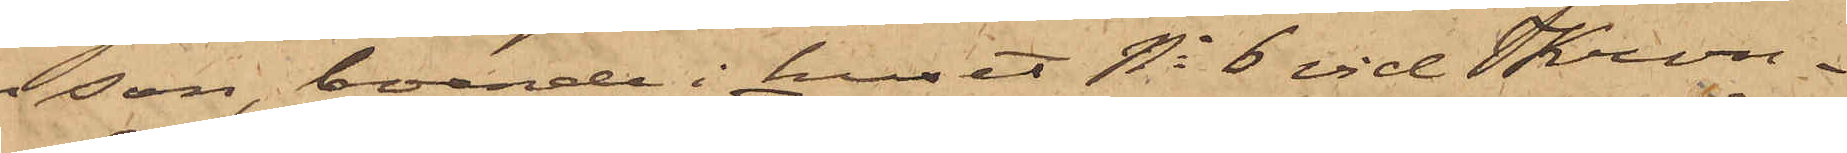son, boende i huset No 6 vid Kron¬
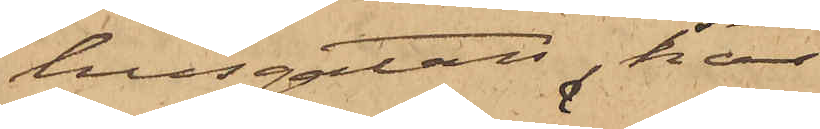husgatan, har
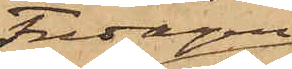Fredagen
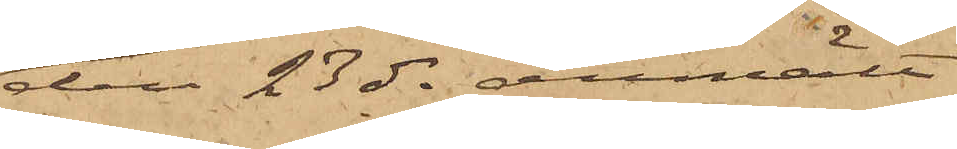den 23 ds anmält
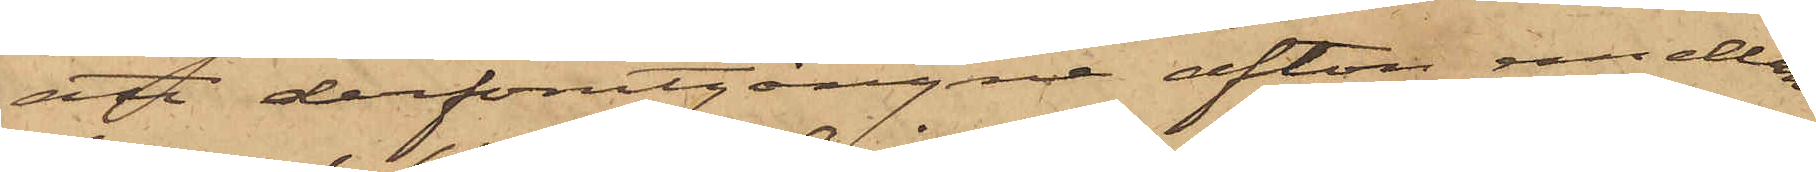att derförutgångne afton emellan
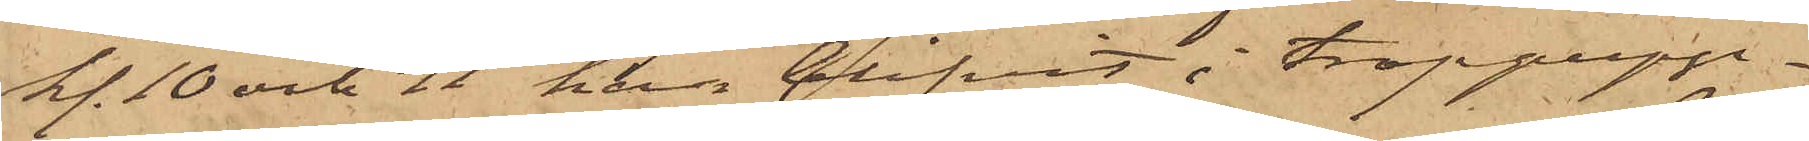kl. 10 och 11 han blifvit i trappupp¬
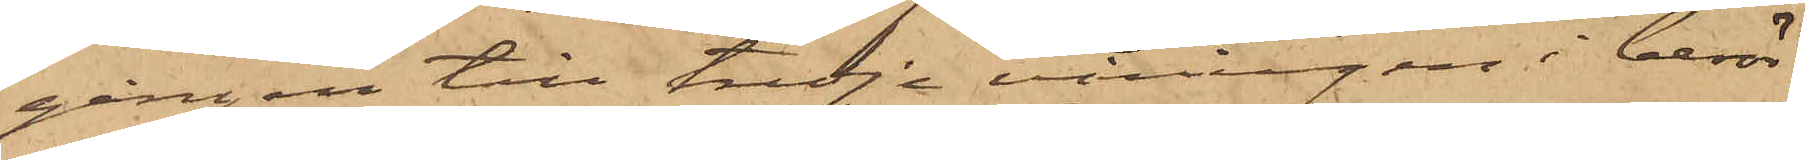gången till tredje våningen i berör¬
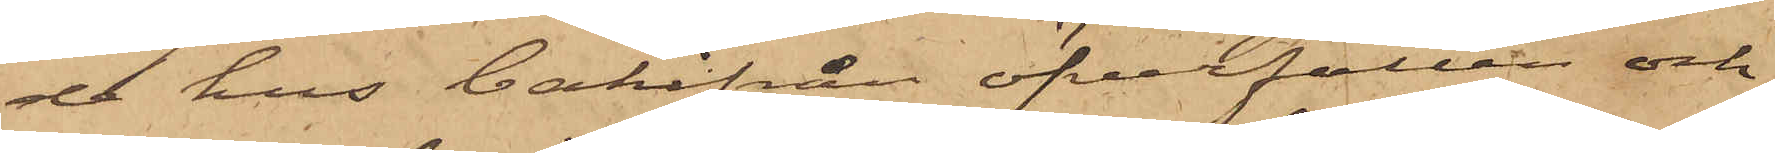de hus bakifrån öfverfallen och
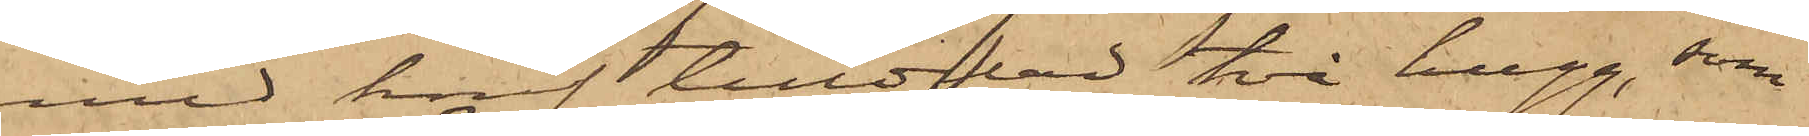med knif tilldelad två hugg, som
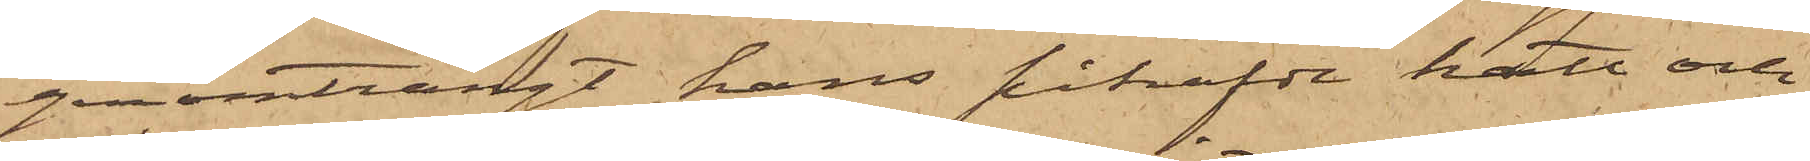genomträngt hans påhafde hatt och
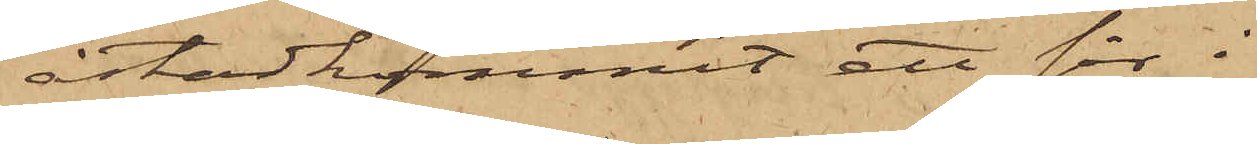åstadkommit ett sår i
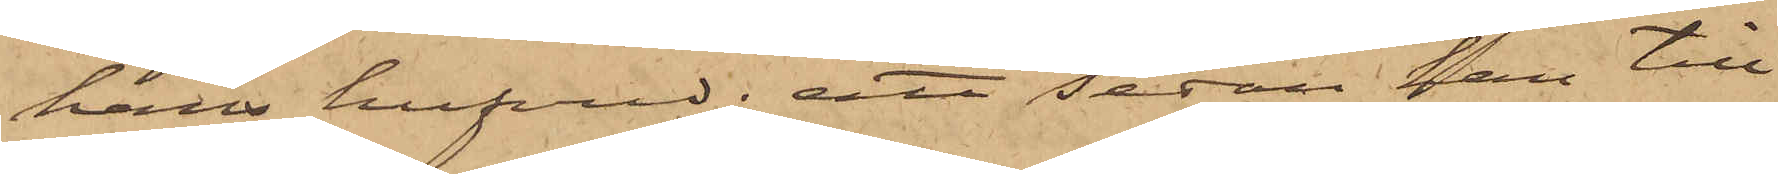hans hufvud; att sedan han till
